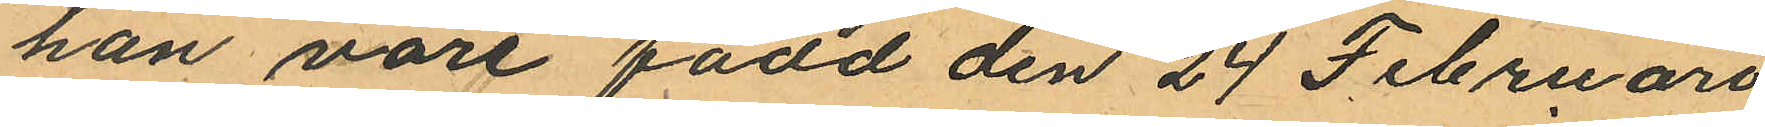han vore född den 24 Februari
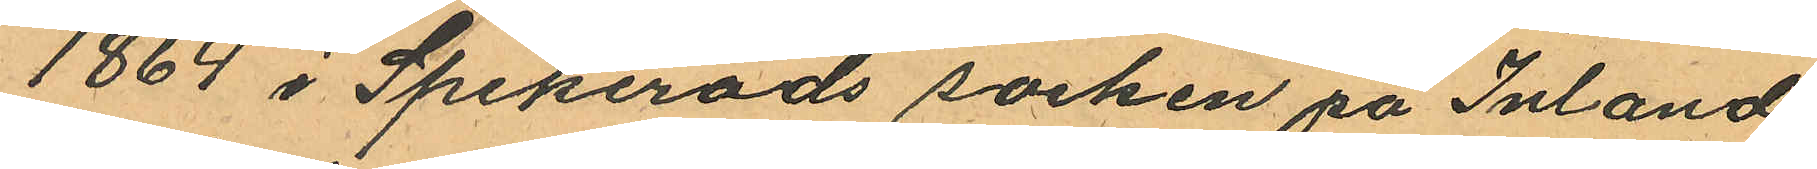1864 i Spekeröds socken på Inland
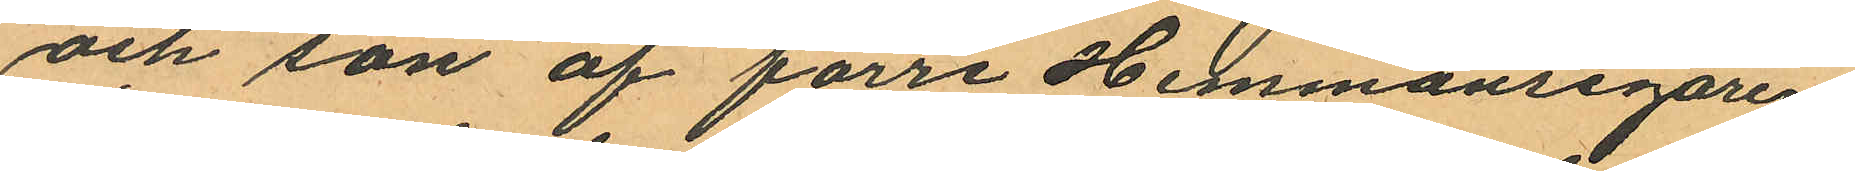och son af förre Hemmansegaren
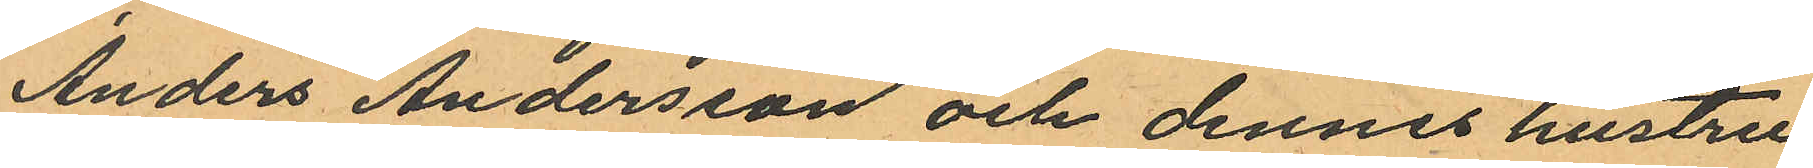Anders Andersson och dennes hustru
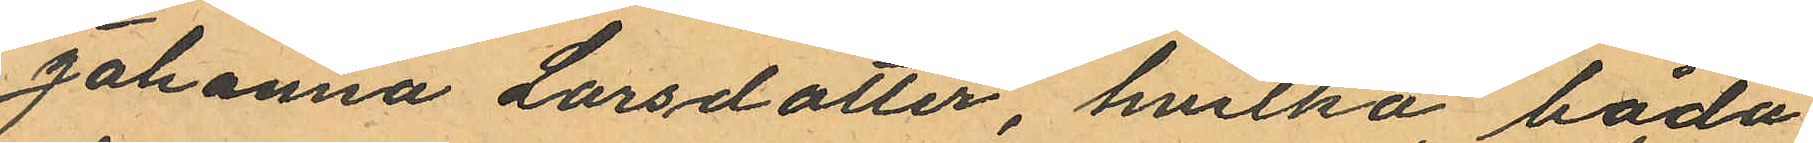Johanna Larsdotter, hvilka båda
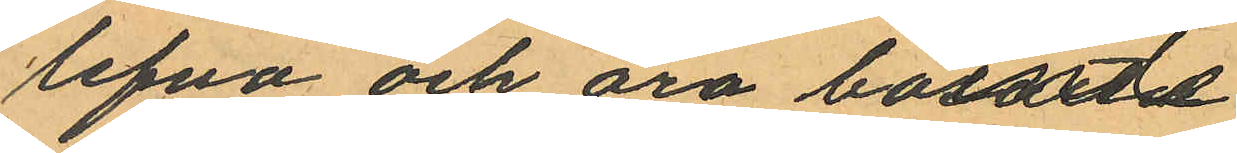lefva och äro boende
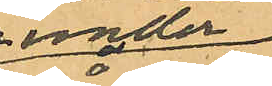under
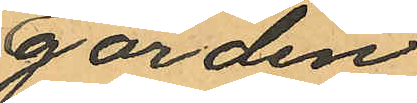gården
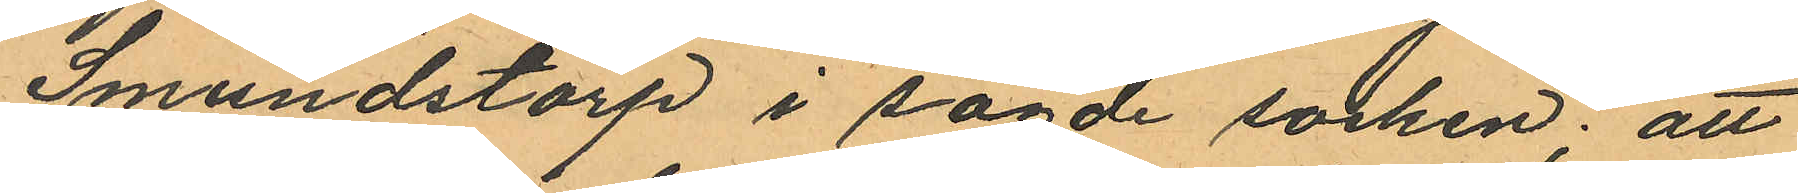Smundstorp i sagde socken; att
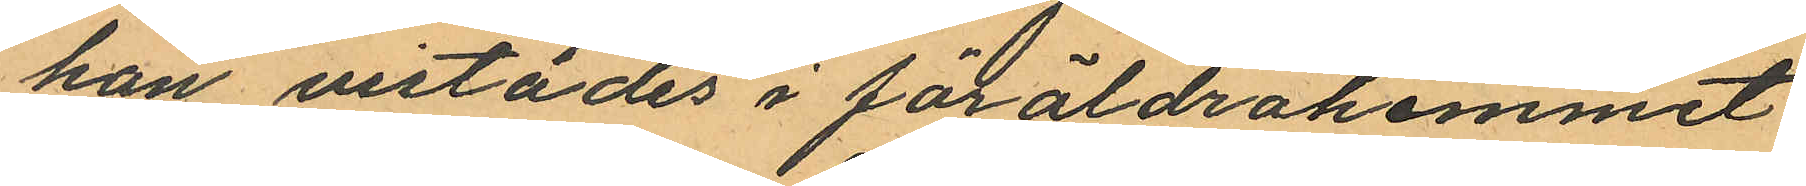han vistades i föräldrahemmet
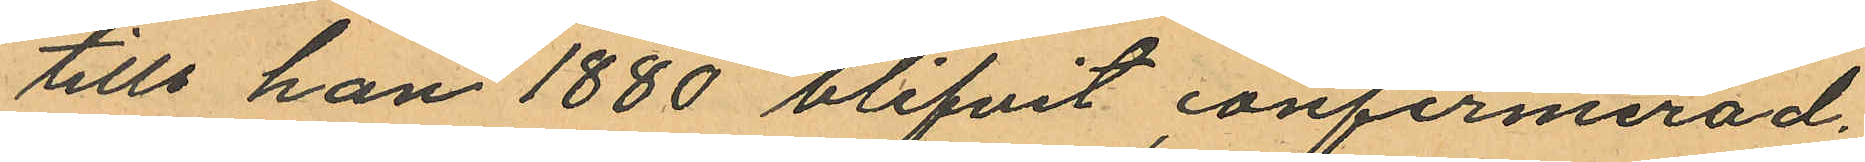tills han 1880 blifvit confirmerad;
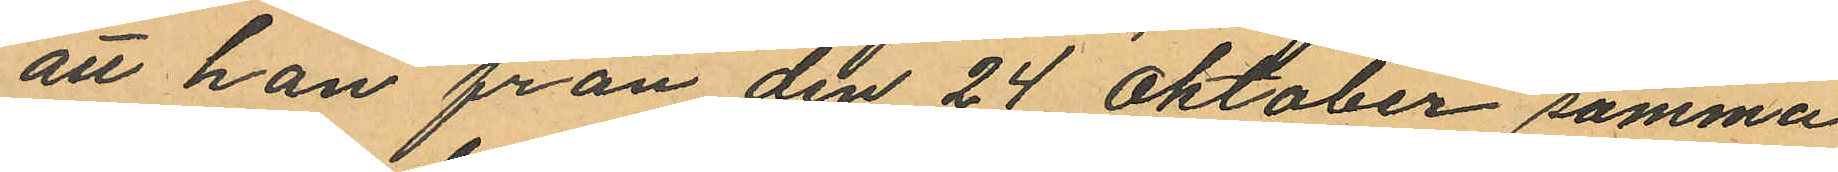att han från den 24 Oktober samma
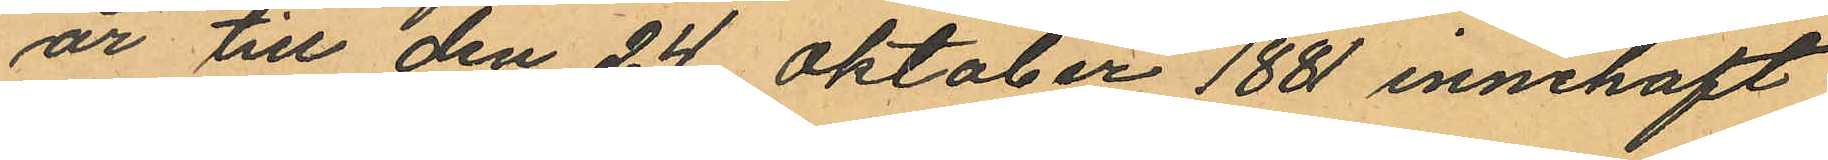år till den 24 Oktober 1881 innehaft
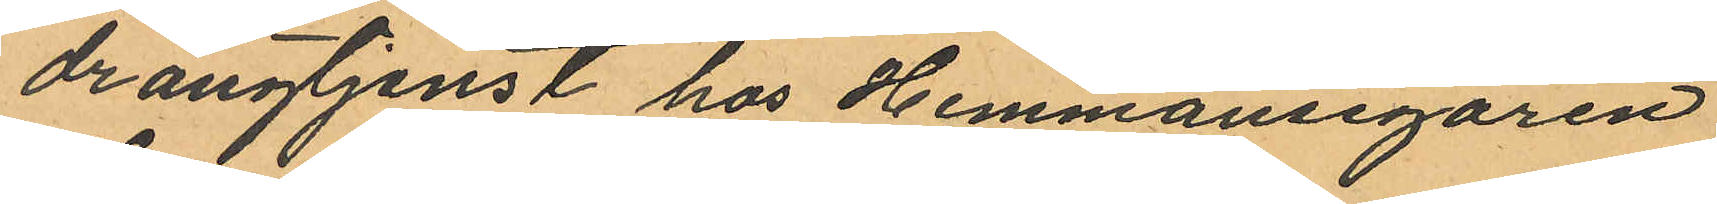drangtjenst hos Hemmansegaren
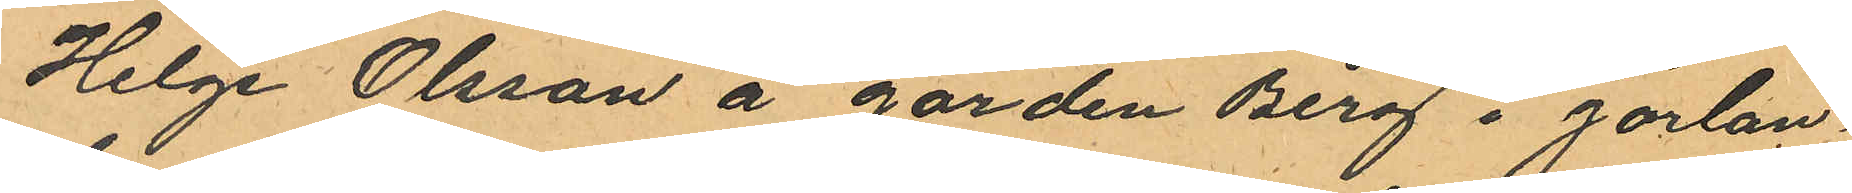Helge Olsson å gården Berg i Jörlan¬
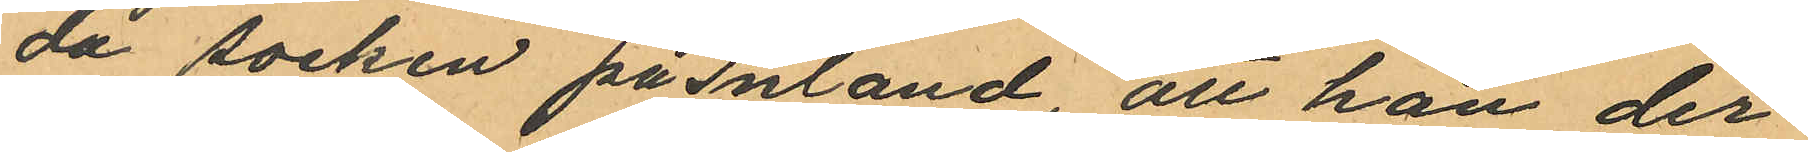da socken på Inland, att han der¬
